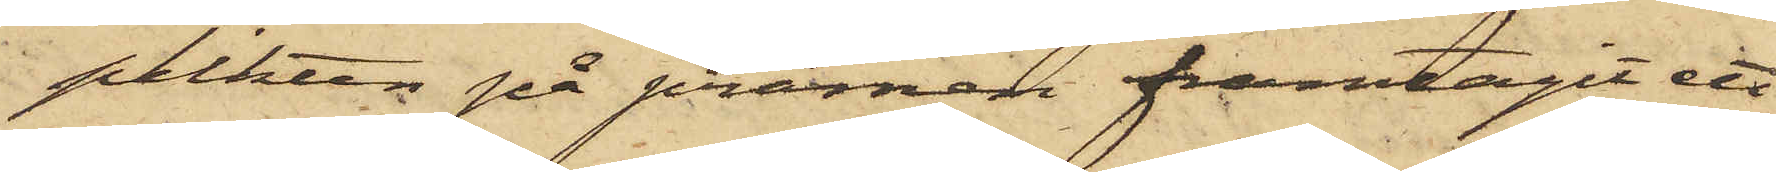plikten på pråmen framtagit ett
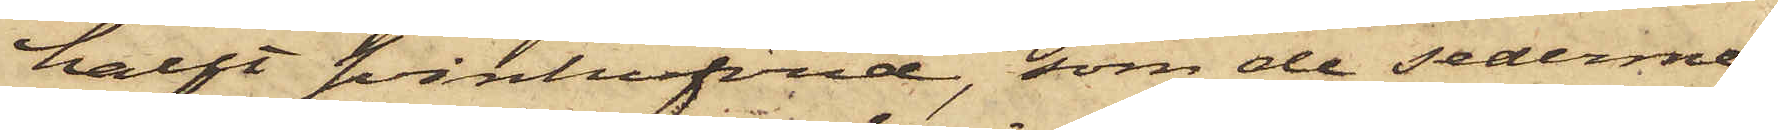halft svinhufvud, som de sederme¬
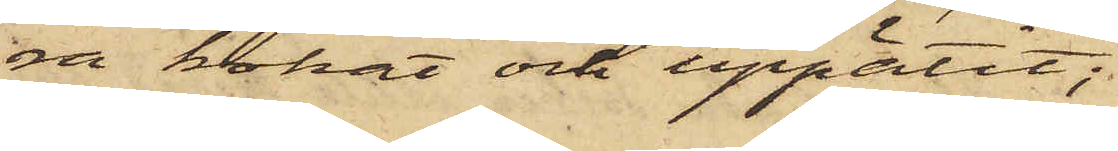ra kokat och uppätit;
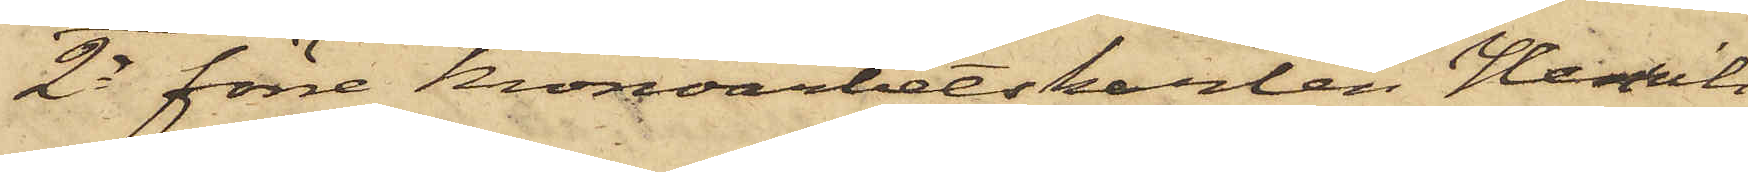2o förre Kronoarbetskarlen Henrik
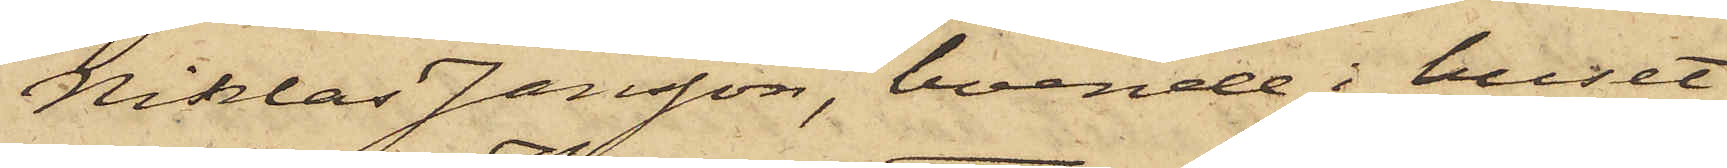Niklas Jansson, boende i huset
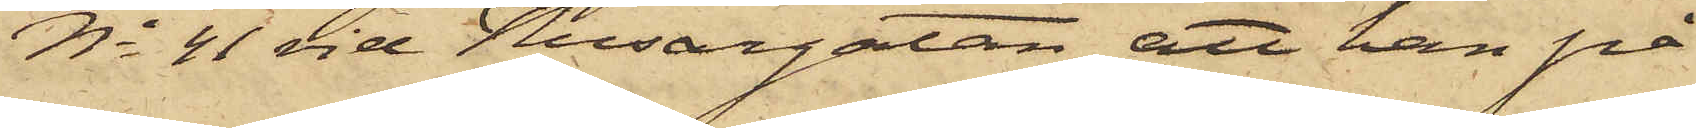No 41 vid Husargatan, att han på
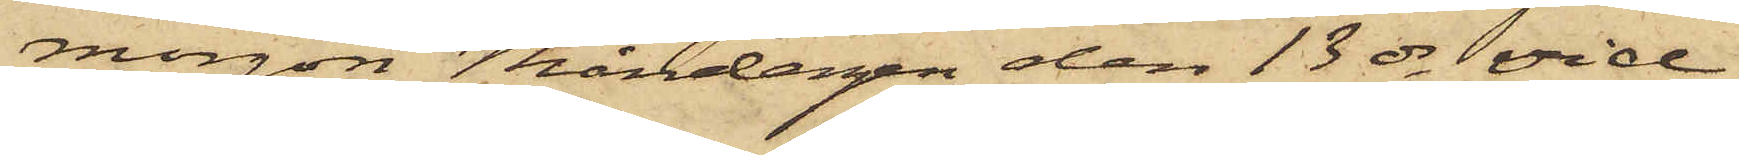morgon Måndagen den 13 ds vid
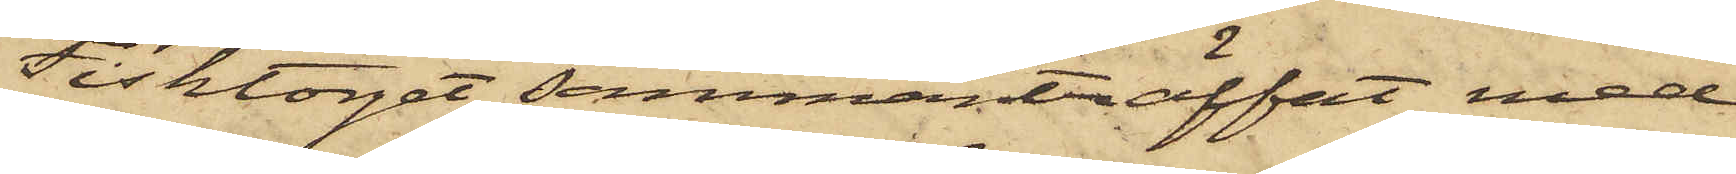Fisktorget sammanträffat med
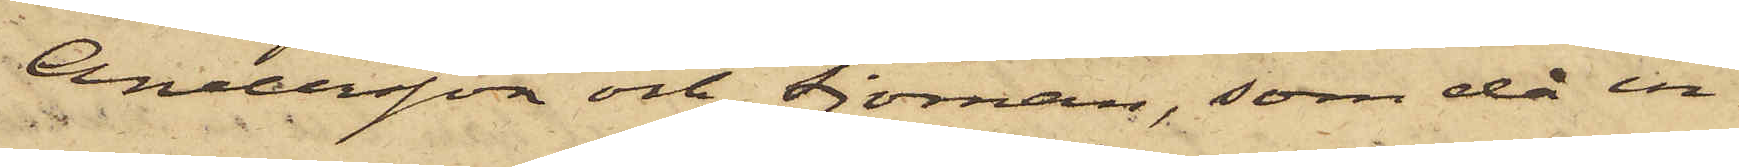Andersson och Sjöman, som då in¬
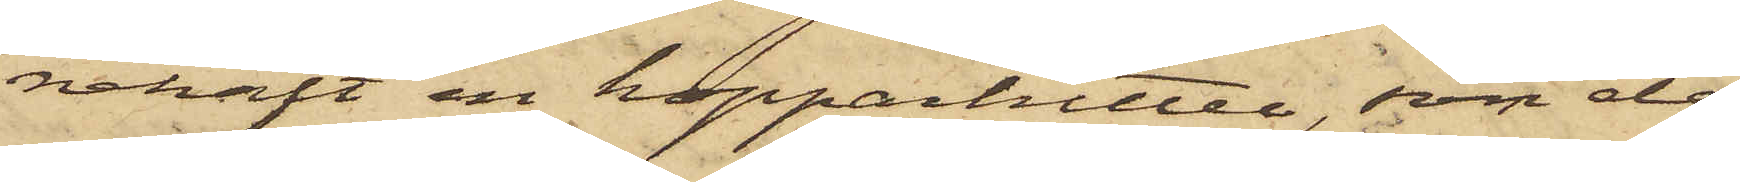nehaft en kopparkittel, som de
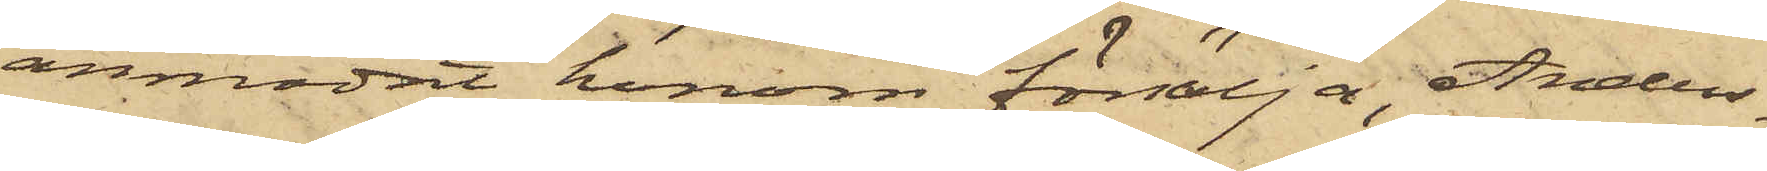anmodat honom försälja, Anders¬
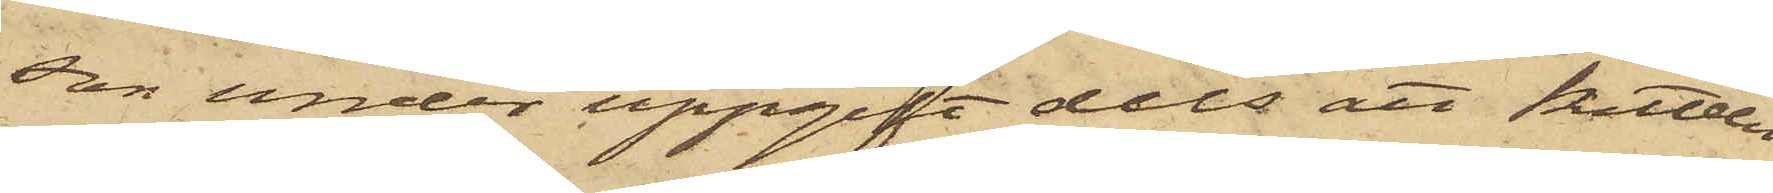son under uppgift dels att kitteln
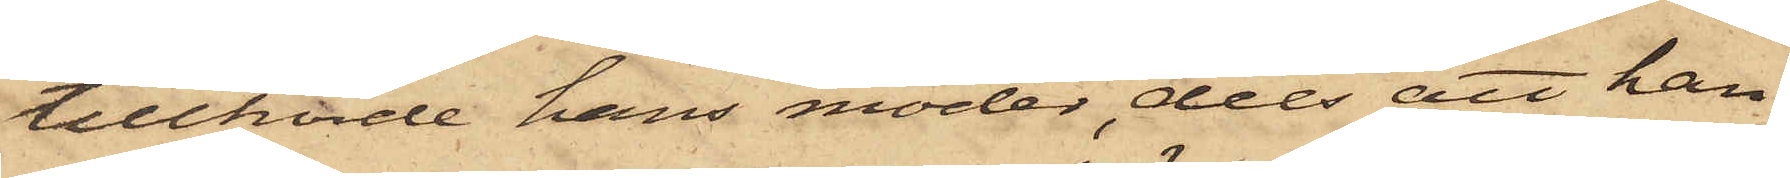tillhörde hans moder, dels att han
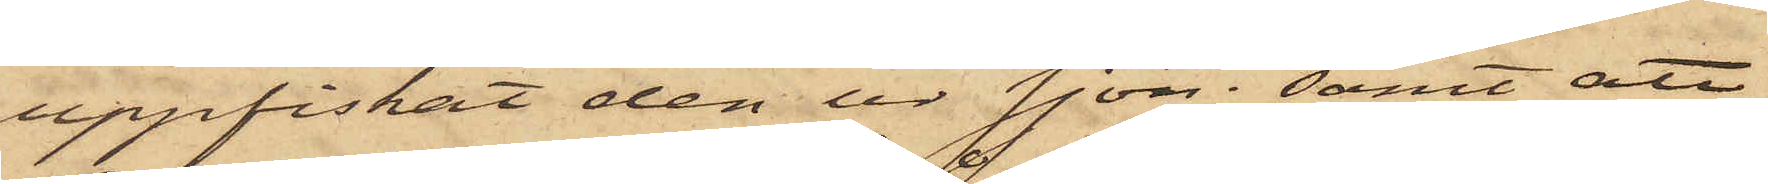uppfiskat den ur sjön; samt att
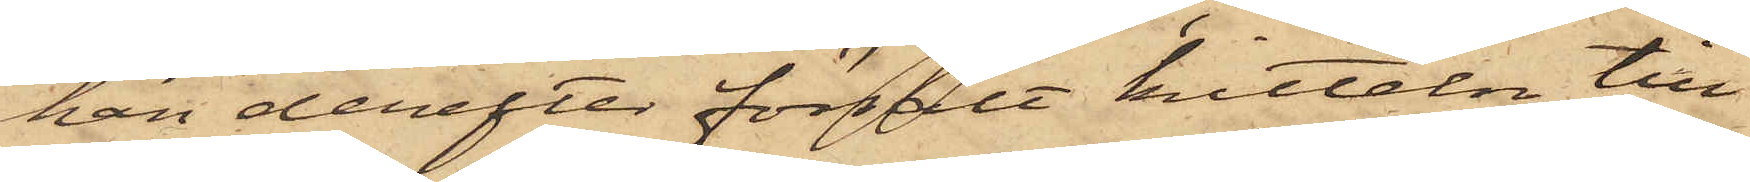han derefter försålt kitteln till
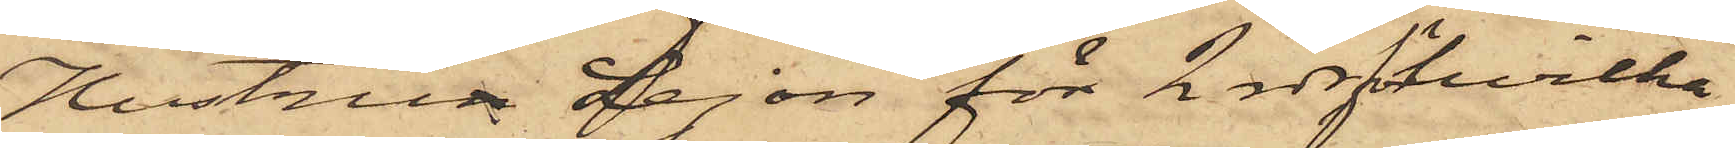Hustrun Lejon för 2 rdr, för hvilka
